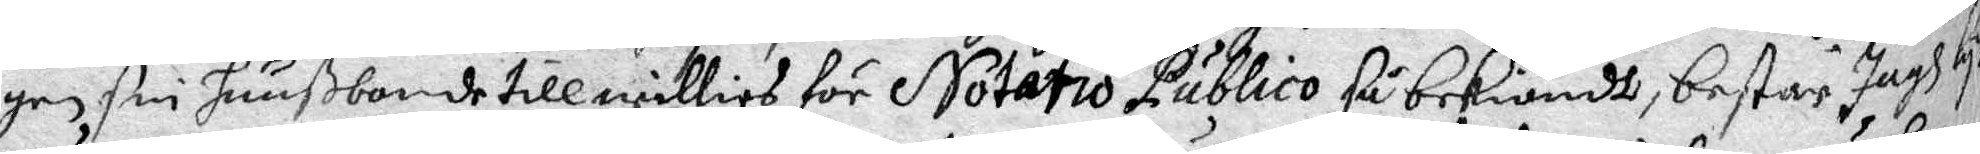gen sin huußbonde till willies för Notario Publico så bekiändt, består Jagh luka
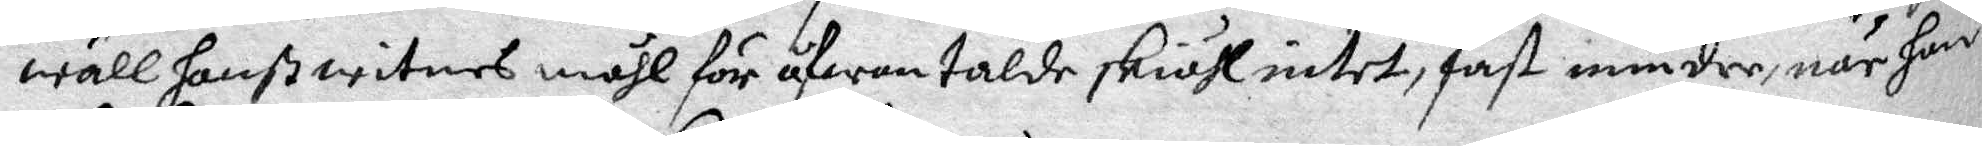wäll hanß witnes måhl för åfwan talde skiähl intet, fast mindre, när han
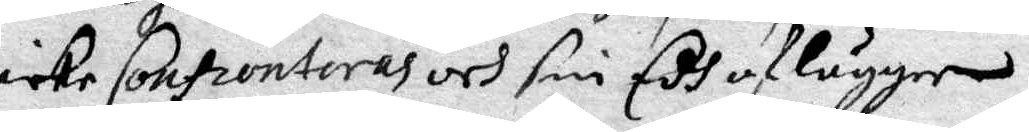icke Confronteras och sin Edh aflägger.
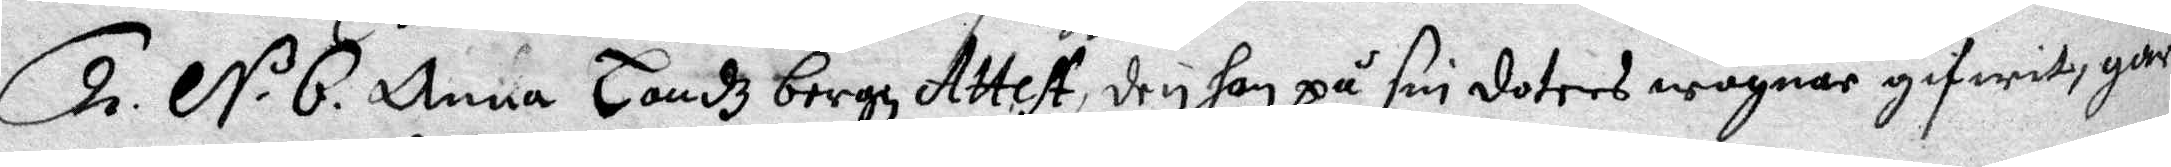2 N. B. Anna Landz bergz Attest, den hon på sin doters wägnar gifwit, går
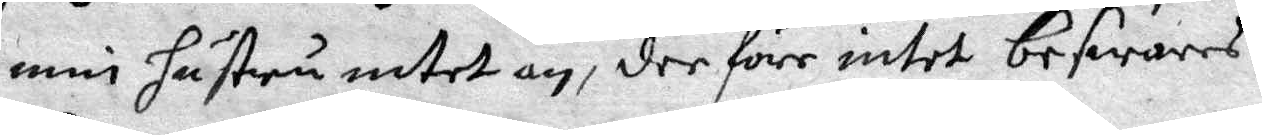min hustru intet an, det före intet beswaras.
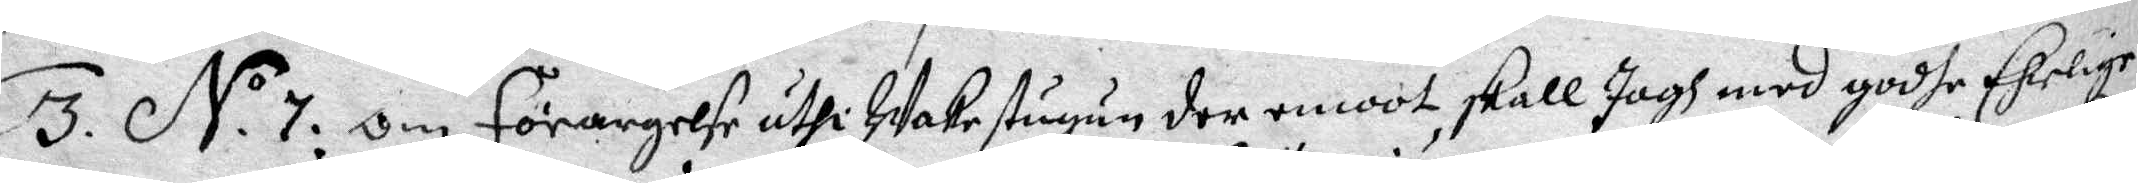3 N.o 7. Om förargelse uthi Wakestugun der emoot, skall Jagh med godhe Ehrige
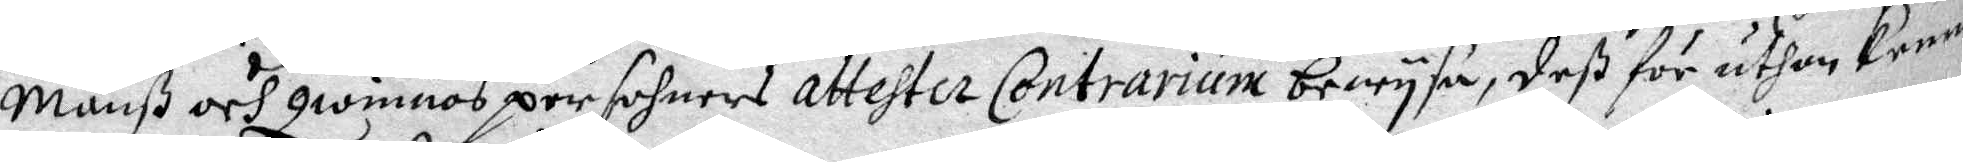Mänß och Qwinnors persohners attester Contrarium bewysa, deß för uthan kenner
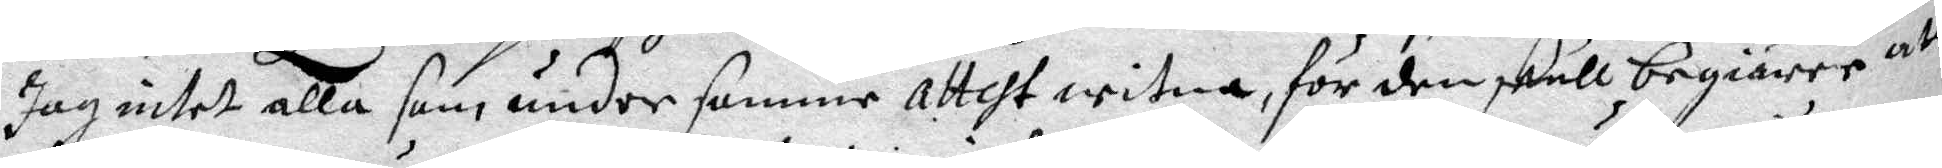Jag intet alla som under samma attest witna, för den skull begiärer att
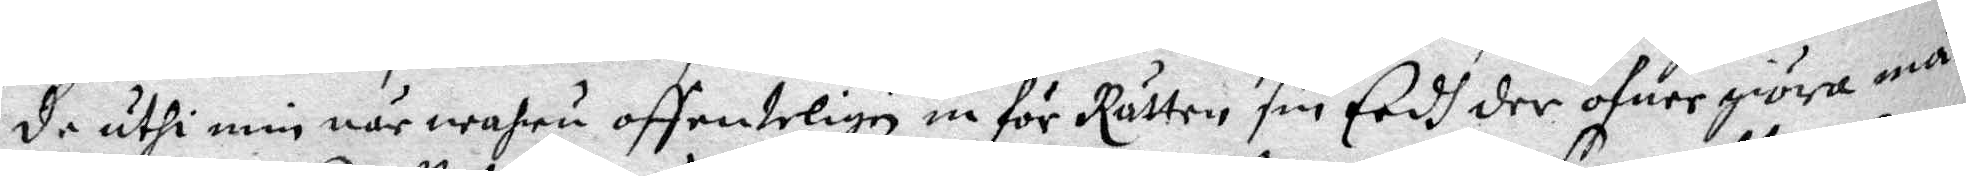de uthi min närwahru offenteligen in för Rätten sin Eedh der öfuer giöra må.
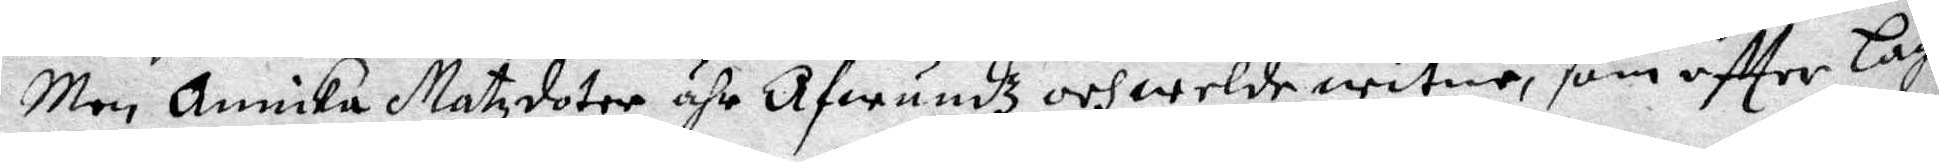Men Annika Matzdotter ähr Afwundz och welde witne, som effter Lagh
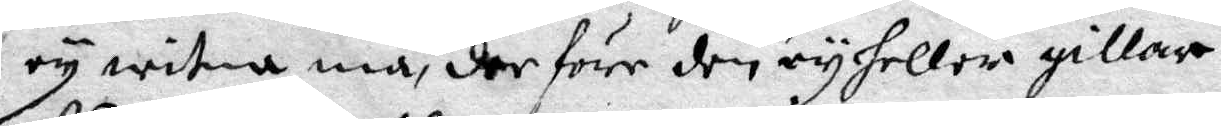ey witna må, der före den ey heller gillar.
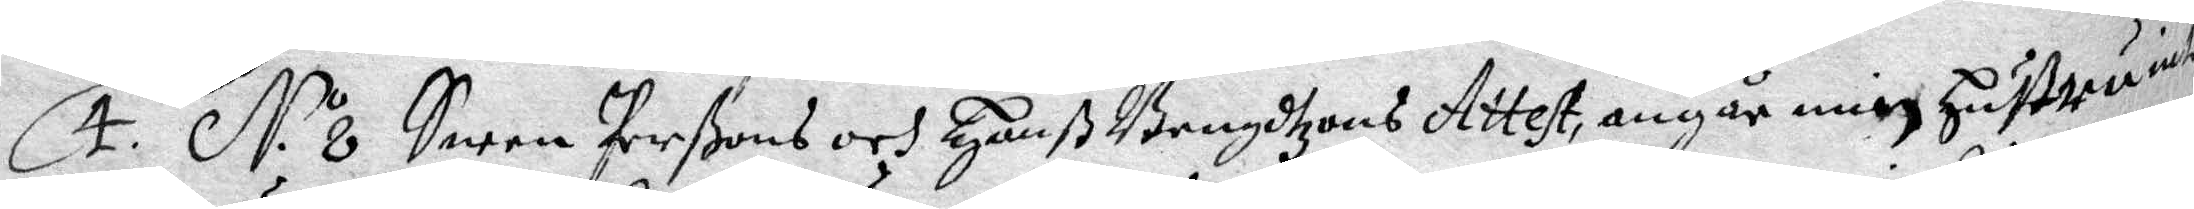4. N.o 8 Swen Perßons och Hanß Bengdtzons Attest, angår min Hustru intet
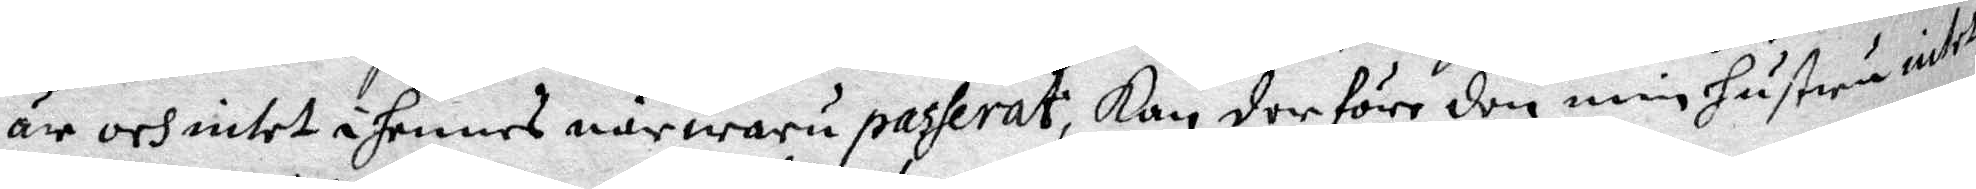är och intet i hennes närwaro passerat, Kan derföre den min Hustru intet
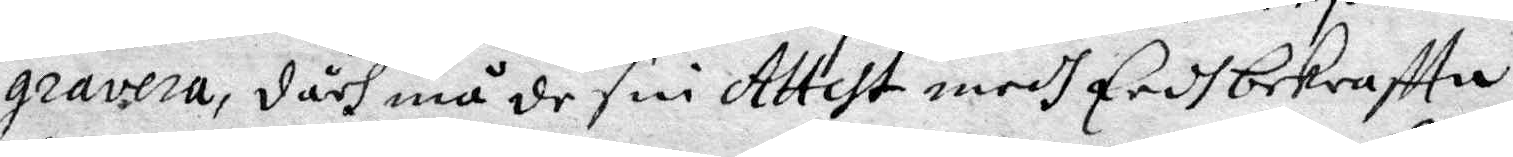gravera, dåch må de sin Attset medh Eedh bekraffta.
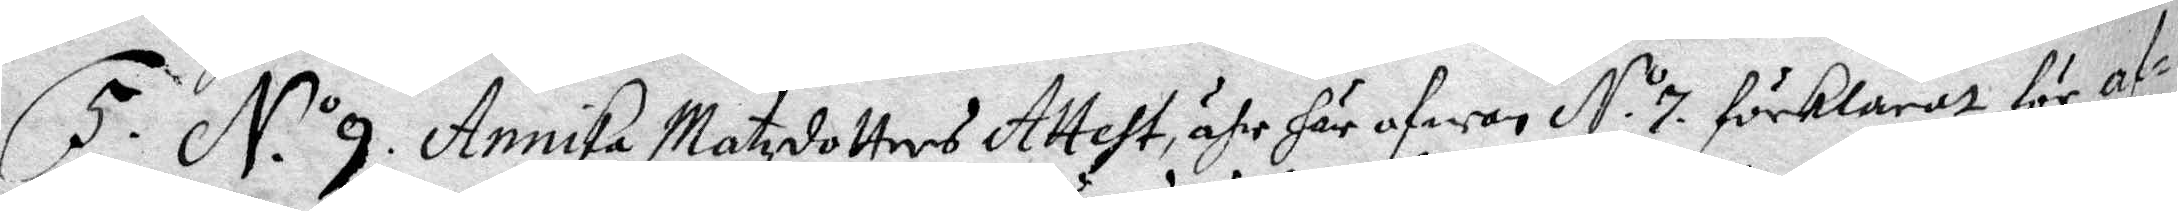5. N. o 9. Annika Matzdotters Attest, ähr här ofwan N.o 7 förklarat för af¬
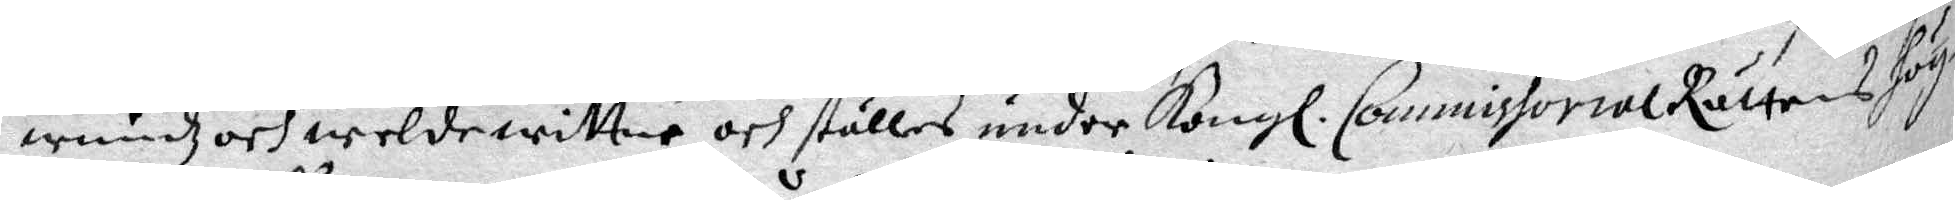wundz och weldewittne och ställes under Kongl. Commissorial Rättens hög¬
